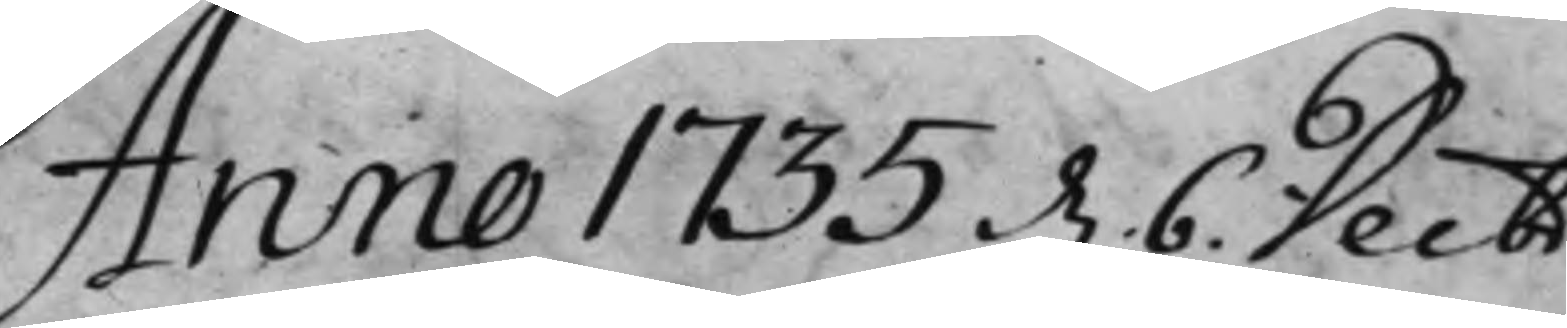Anno 1735 d. 6. Decbr
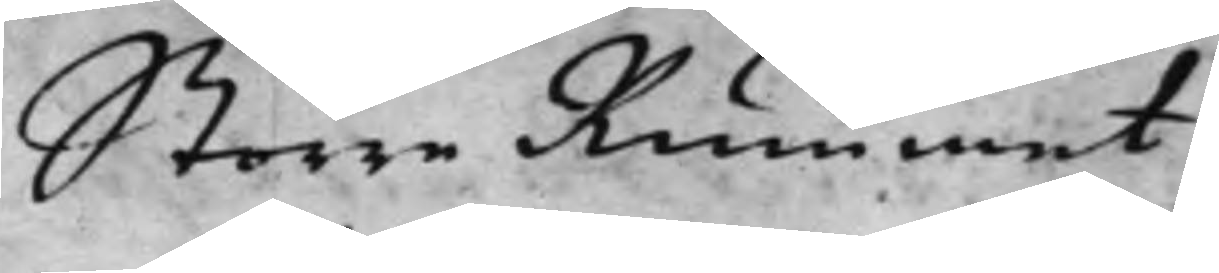Större Rummet.
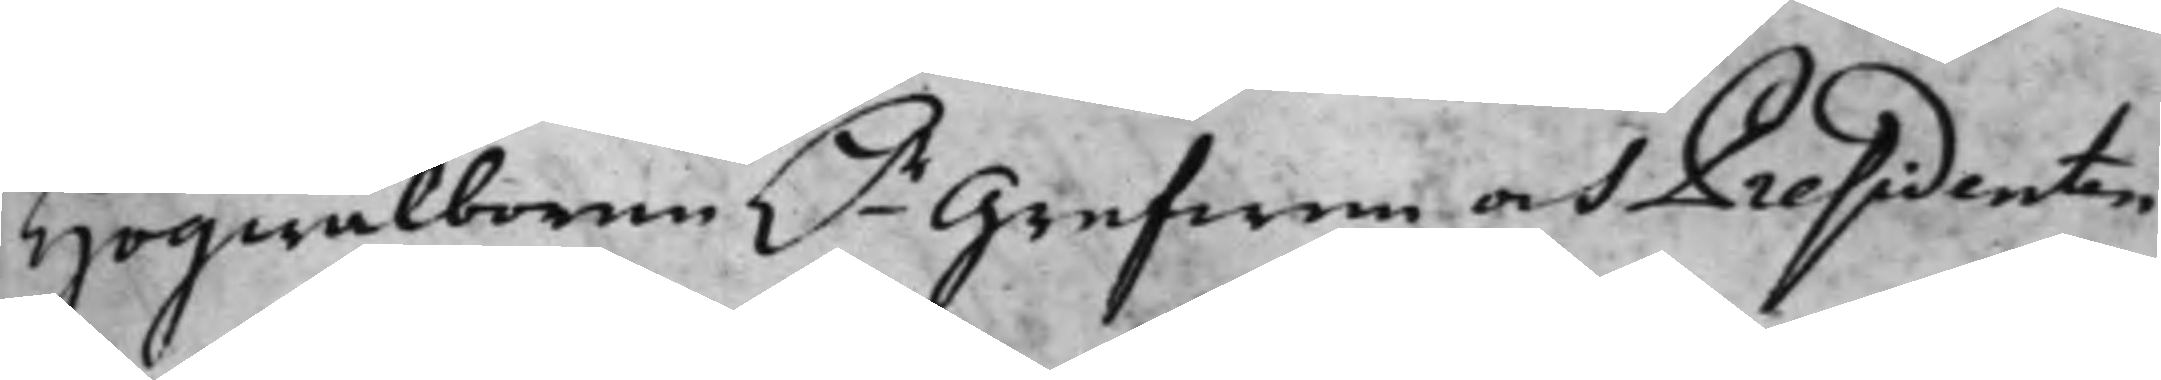Högwälborne h.r Grefwen och Presidenten
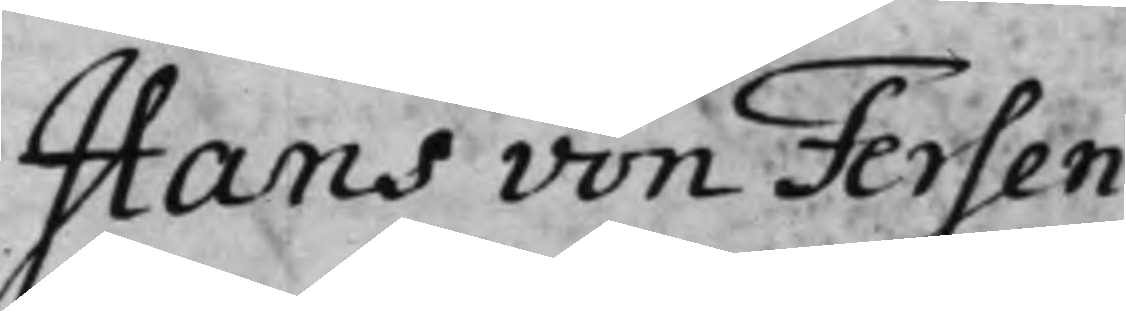Hans von Fersen.
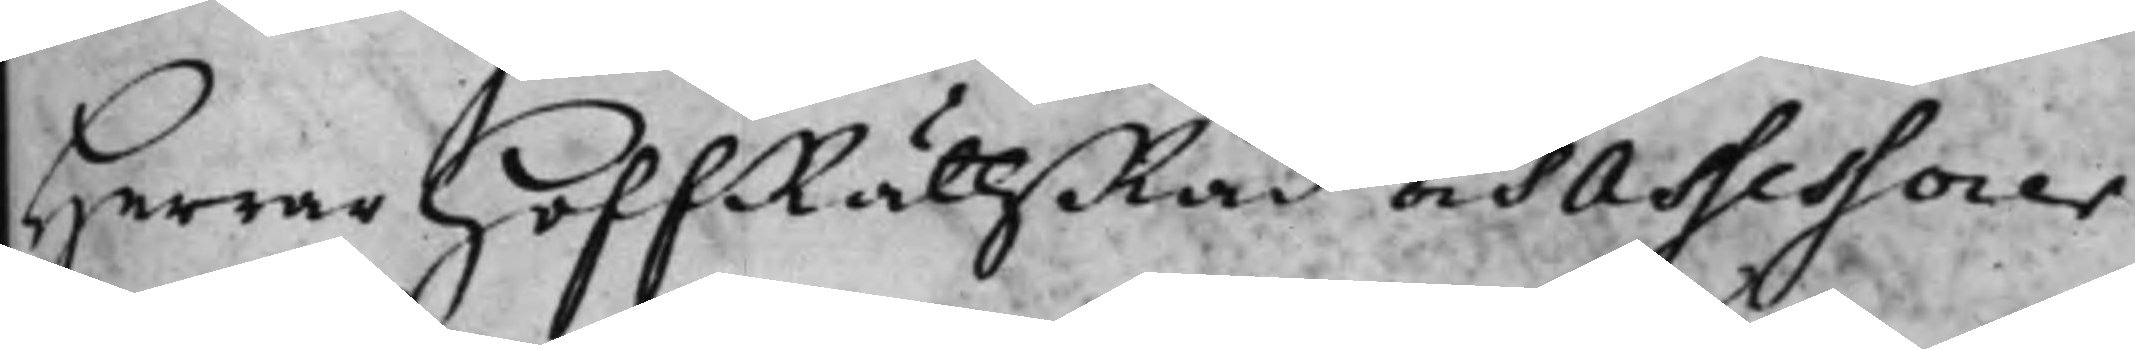Herrar HoffRättsRåd och Assessorer.
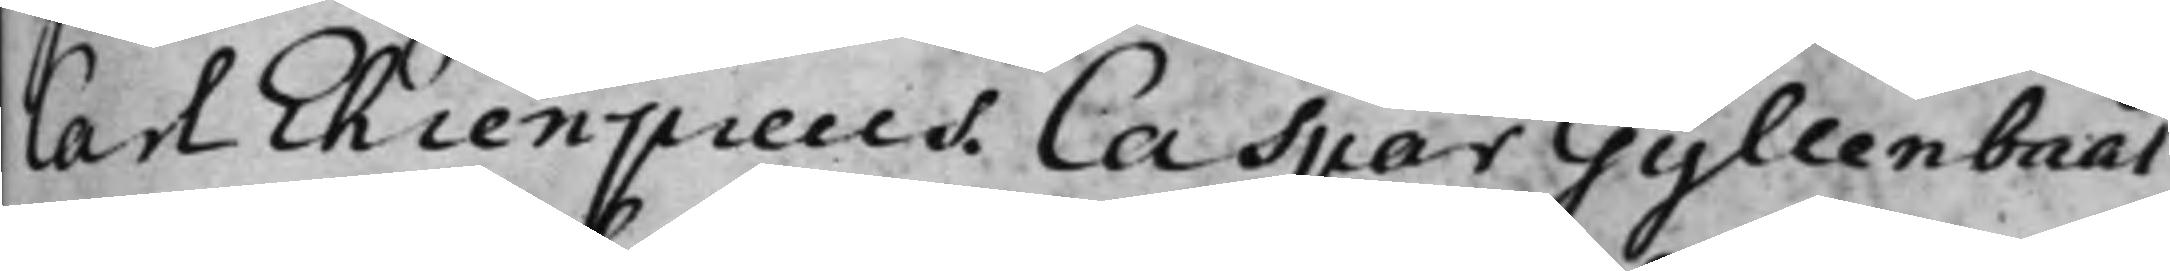Carl Ehrenpreus. Caspar Gyllenbååt
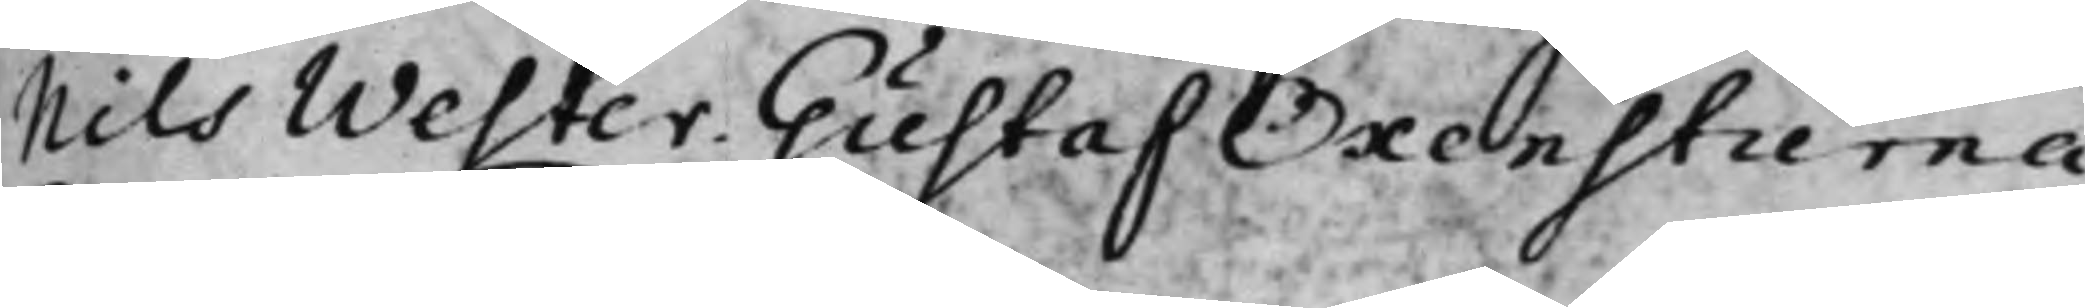Nils Wester. Gustaf Oxenstierna.
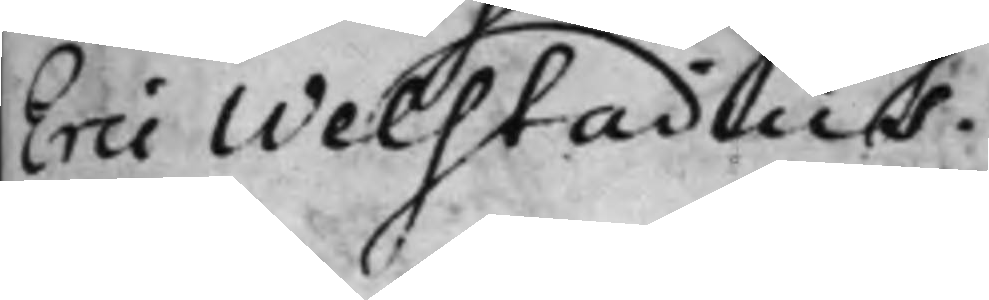Eric Welstadius.
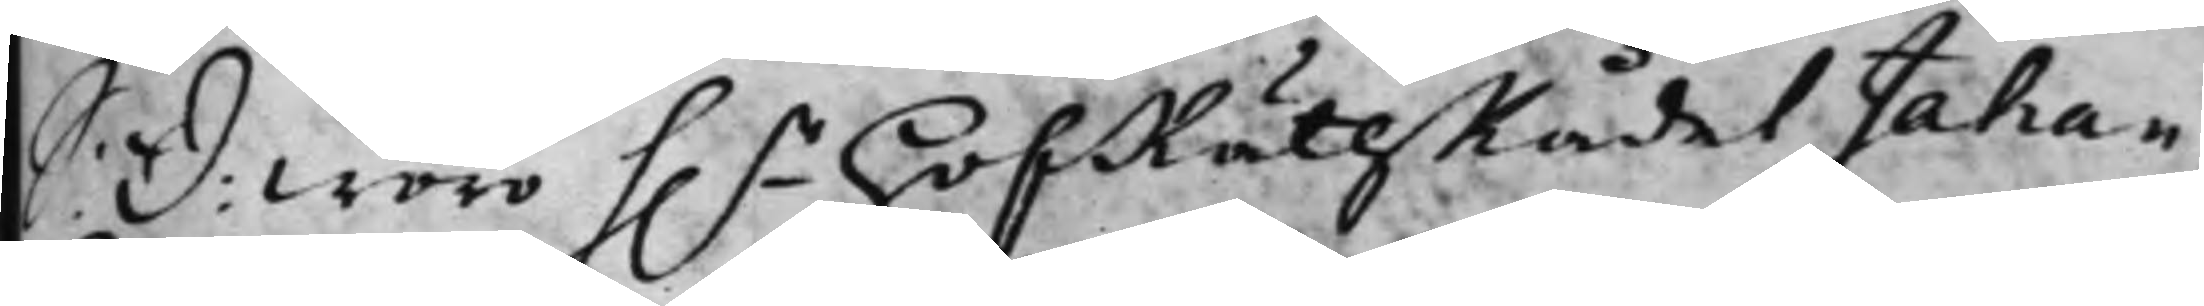S: D: woro h.r HofRättzRådet Johan
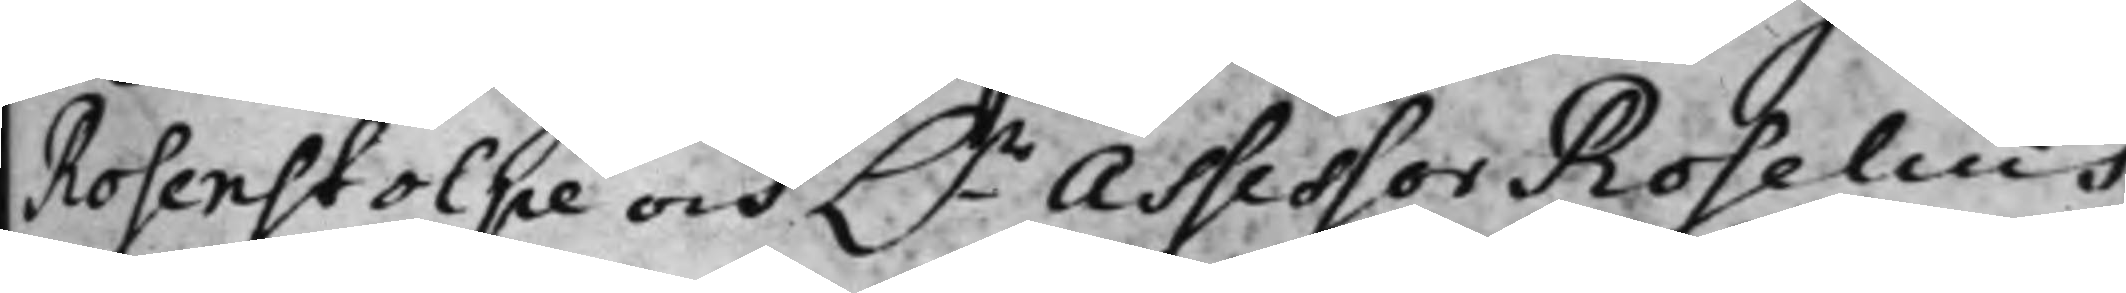Rosenstolpe och h.r Assessor Roselius
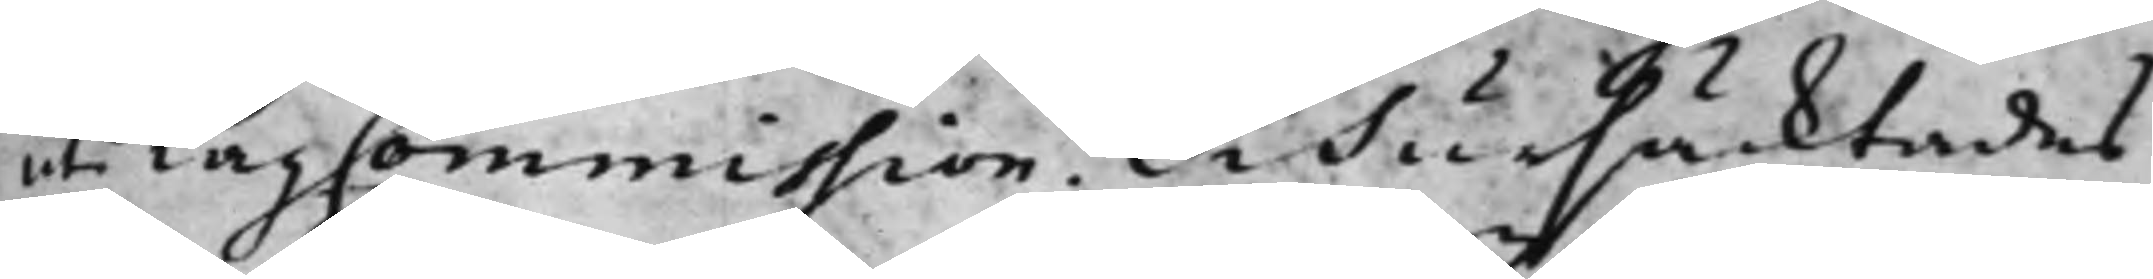uti LagCommission. Och ursäcktades
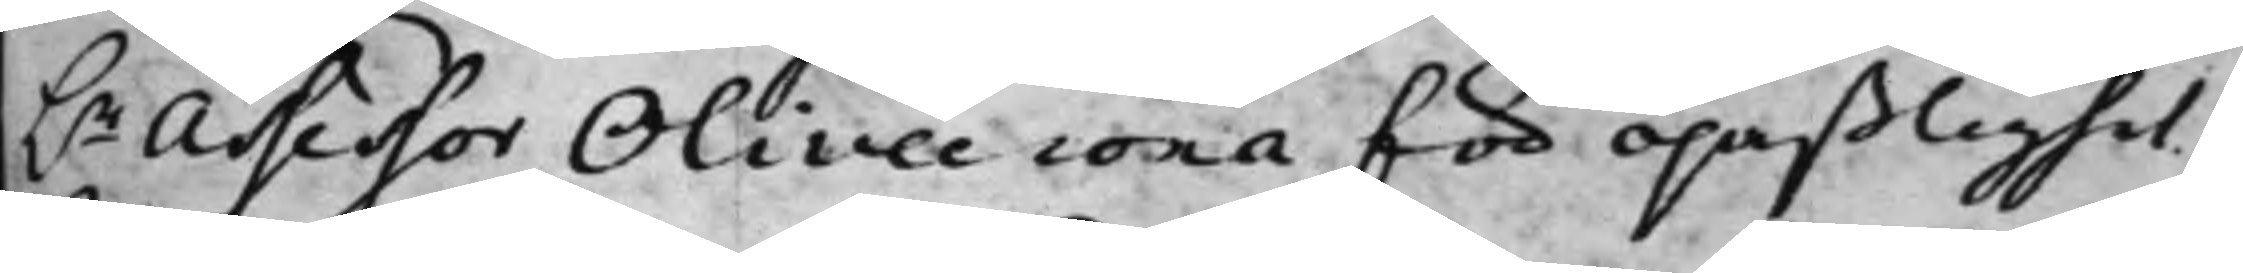h.r Assessor Olivecrona för opaßlighet.
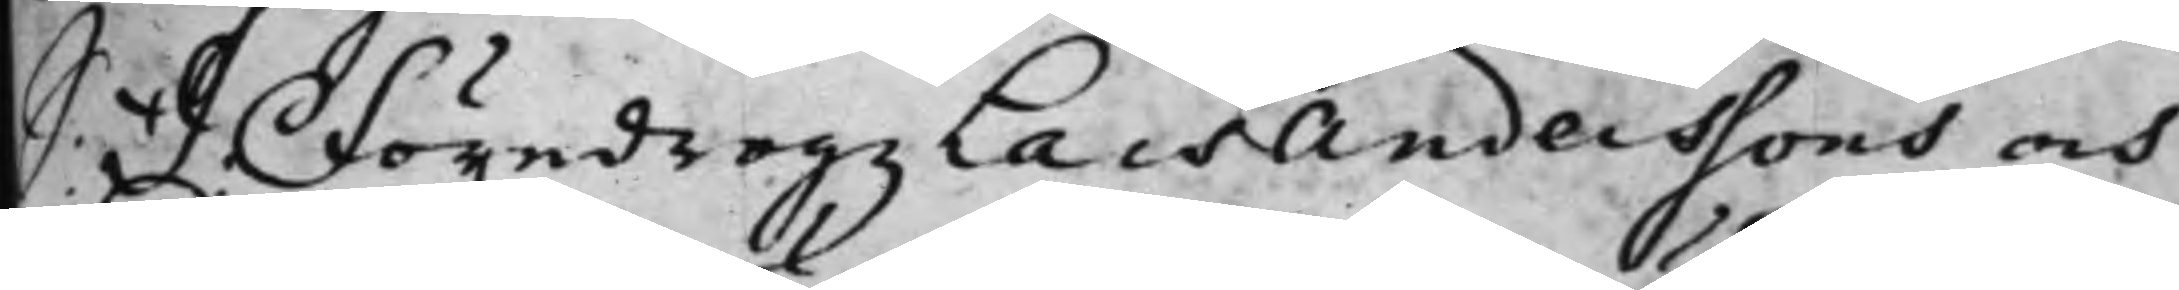 S: D: Föredrogz Lars Anderssons och
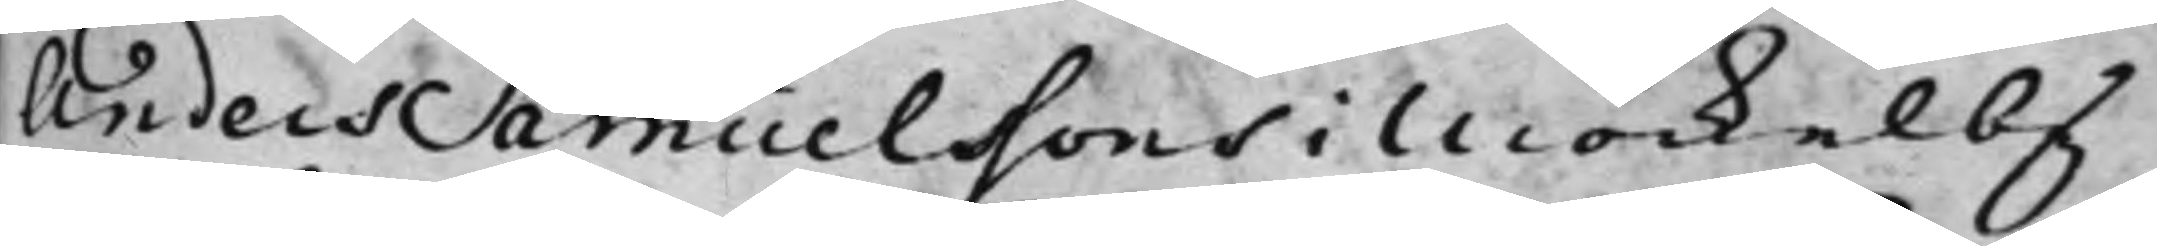Anders Samuelsons i Möckelby
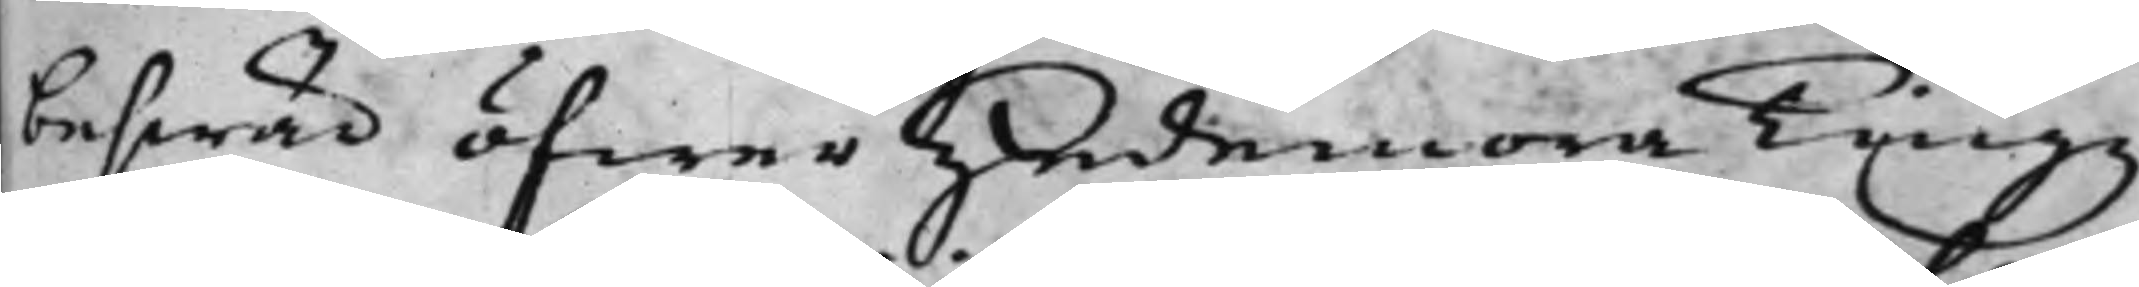beswär öfwer Hedemora Tingz¬
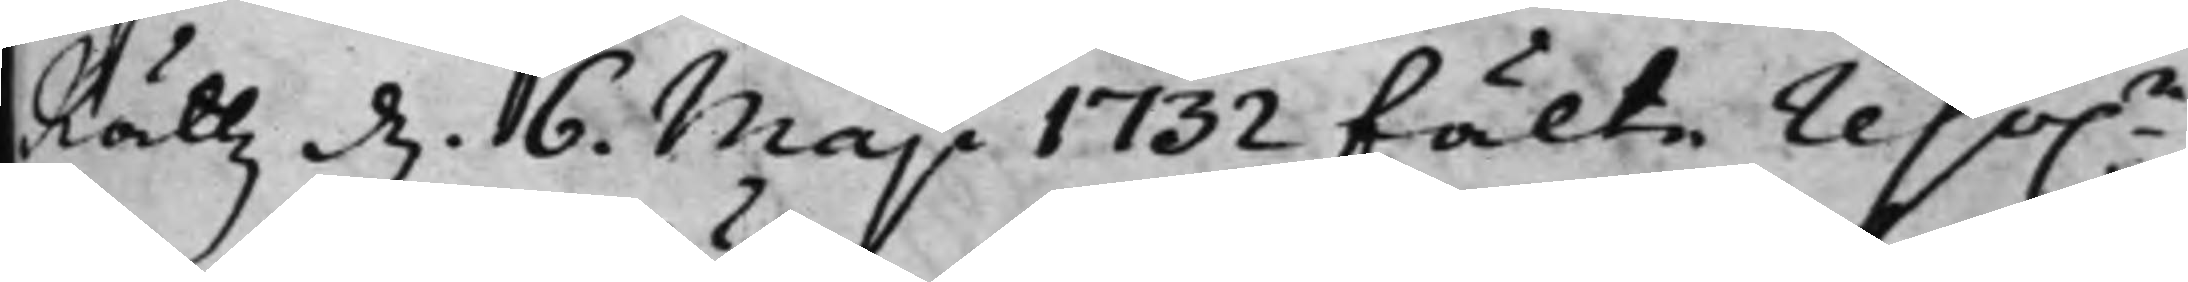Rättz d. 6. Maji 1732 fälte reso.n,
